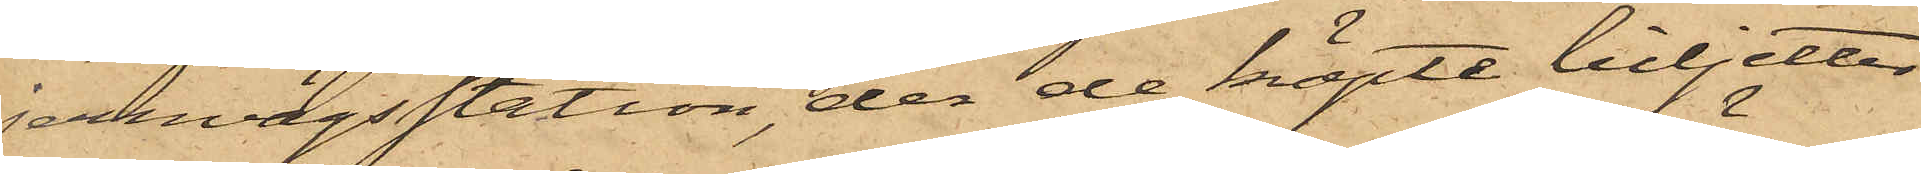jernvägsstation, der de köpte biljetter
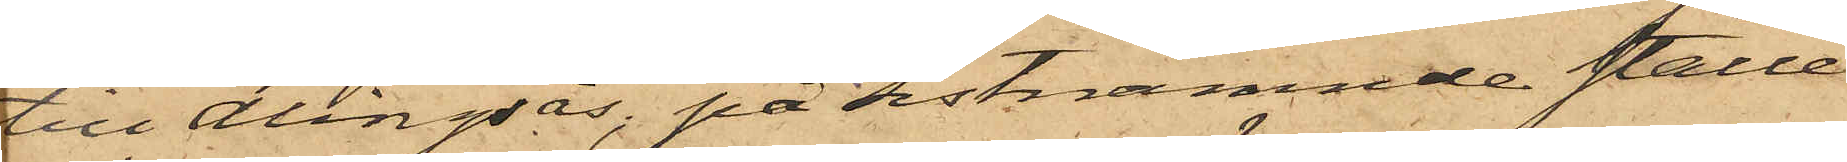till Alingsås, på sistnämnde ställe
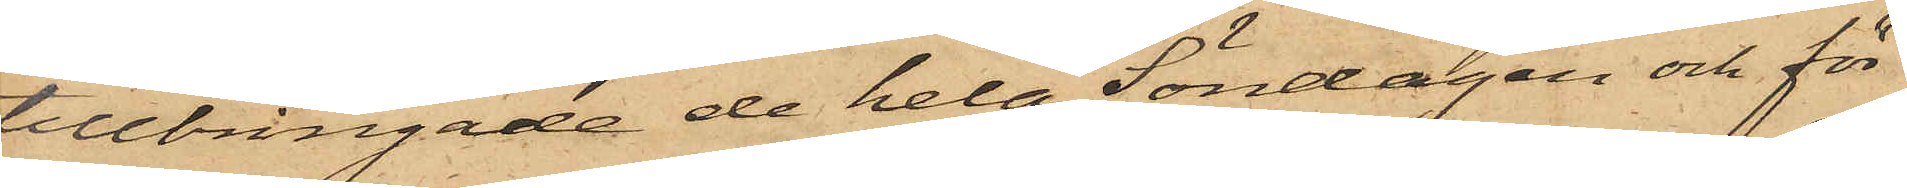tillbringade de hela Söndagen och för¬
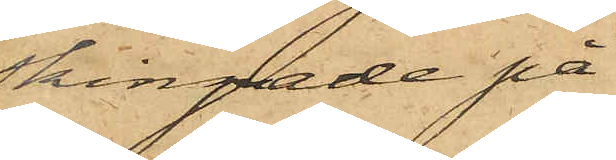skingade på
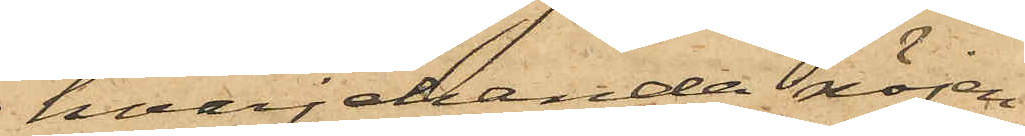hvarjehanda nöjen
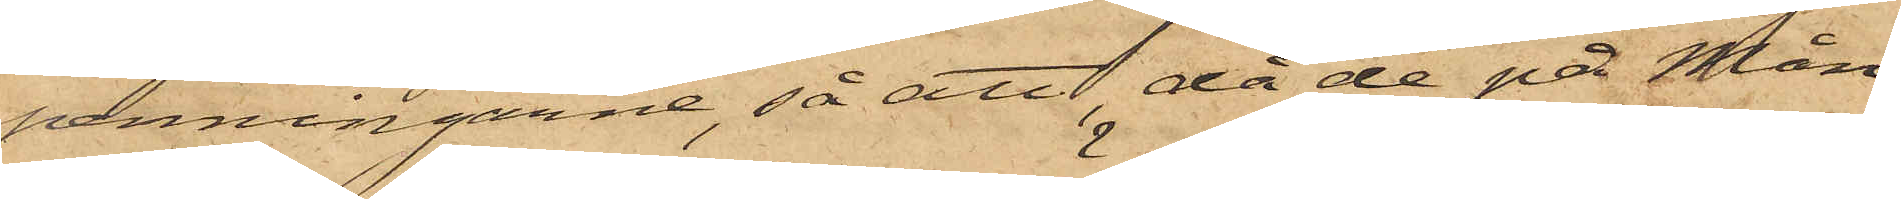penningarne, så att, då de på Mån¬
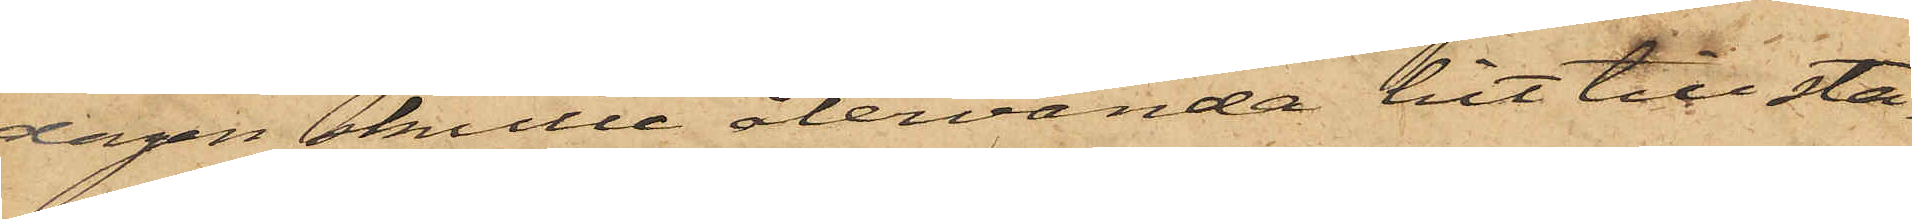dagen skulle återvända hit till sta¬
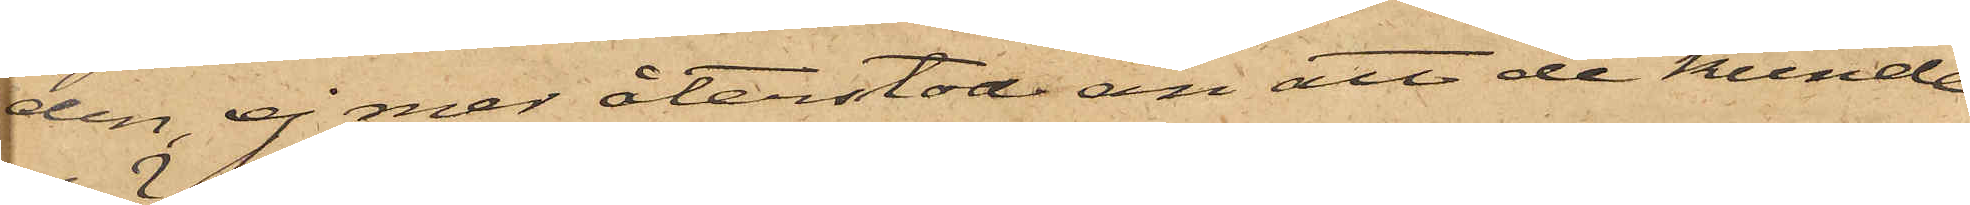den, ej mer återstod än att de kunde
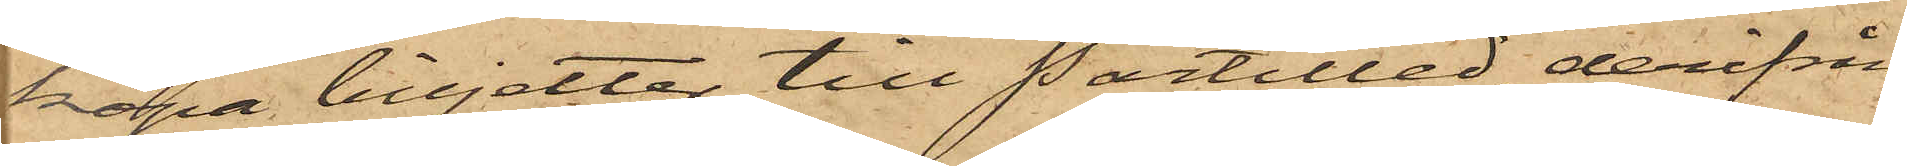köpa tilljetter till Partilled, derifrån
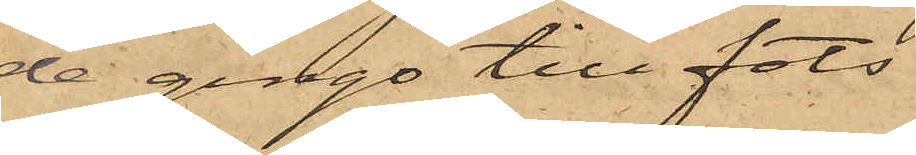de gingo till fots,
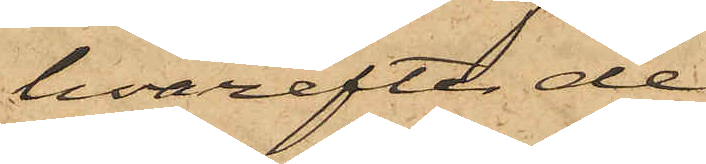hvarefter de
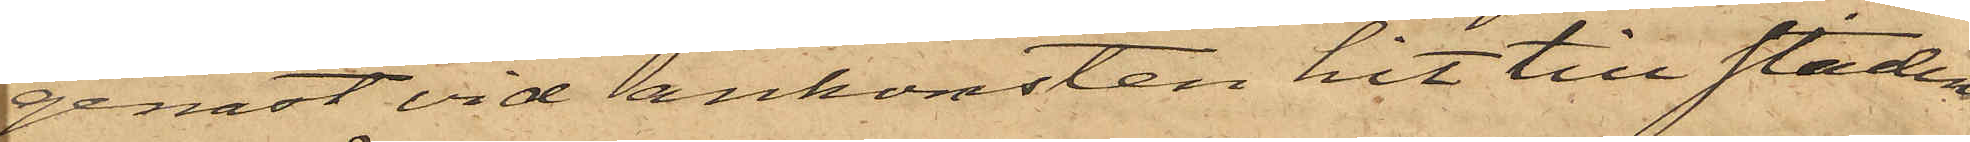genast vid ankomsten hit till staden
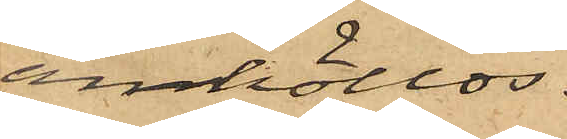anhöllos.
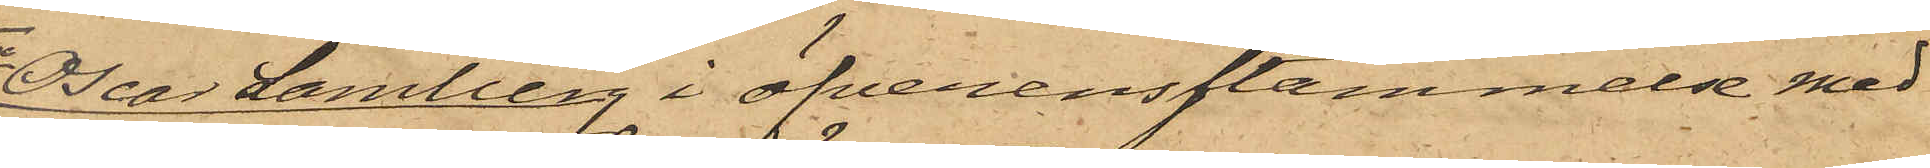2o Oscar Lamberg i öfverensstämmelse med
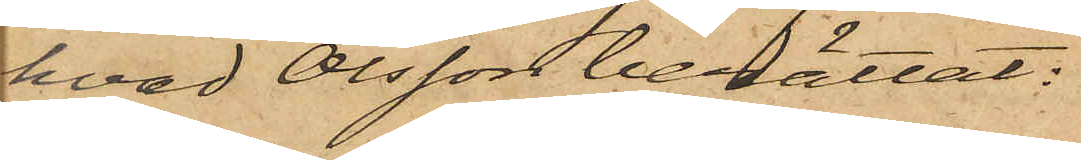hvad Olsson berättat:
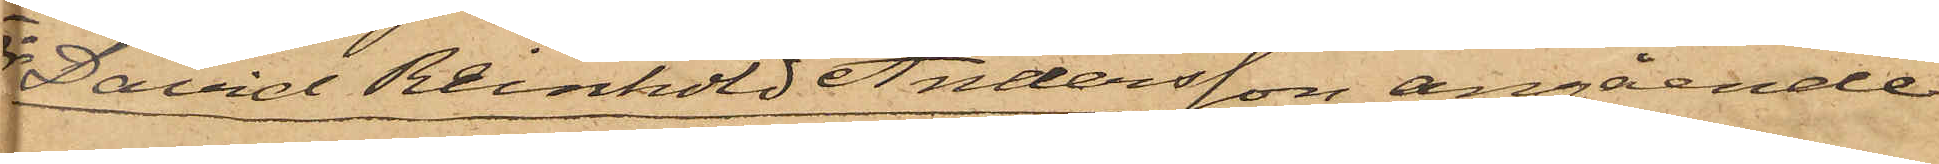3o David Reinhold Andersson angående
